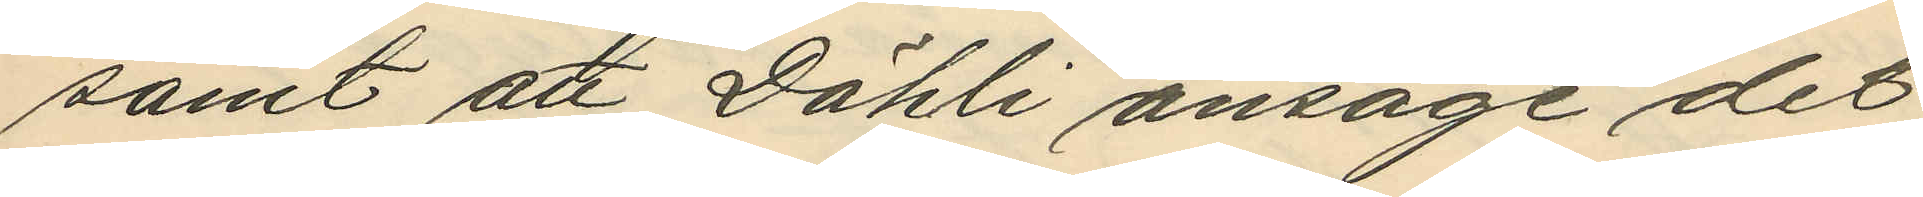samt att Dähli ansåge det
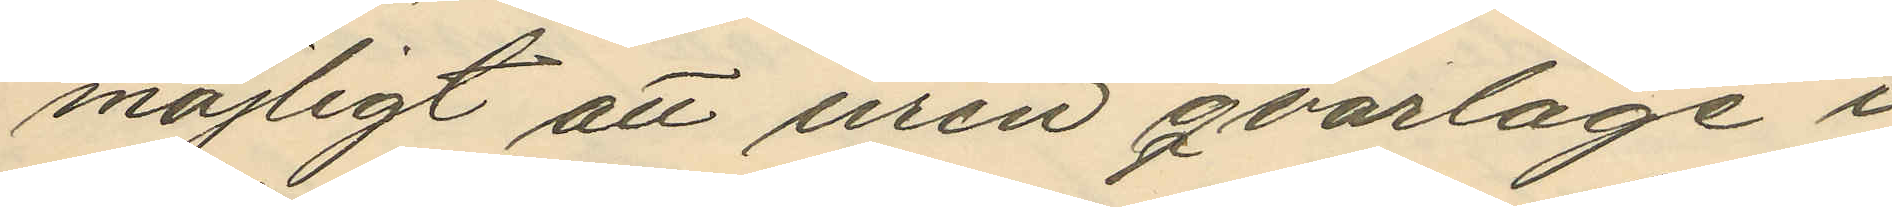möjligt att uren qvarlåge i
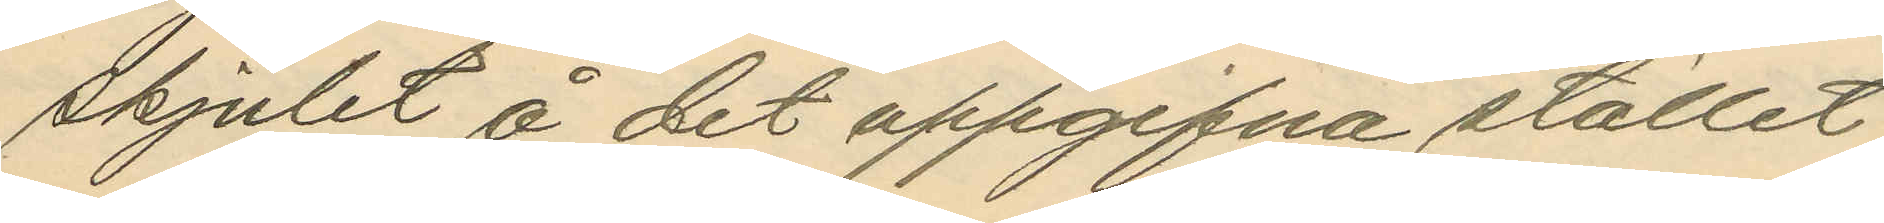skjulet å det uppgifna stället,
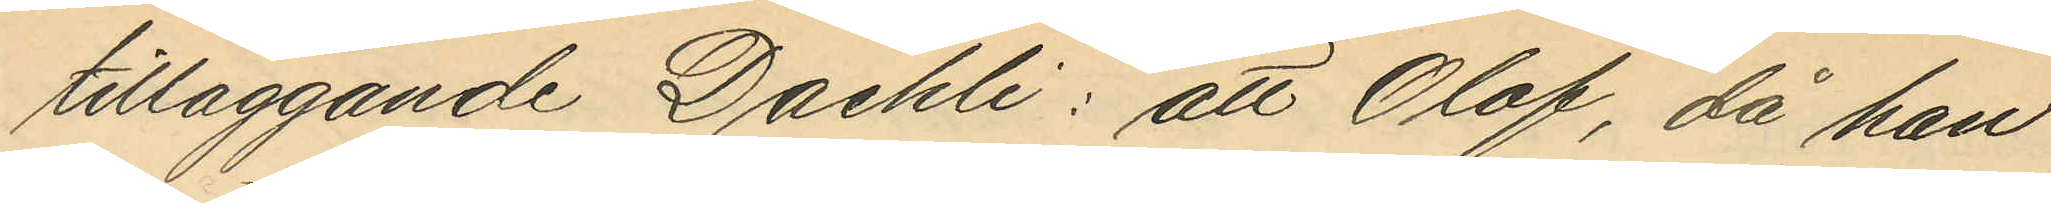tilläggande Daehli: att Olof, då han
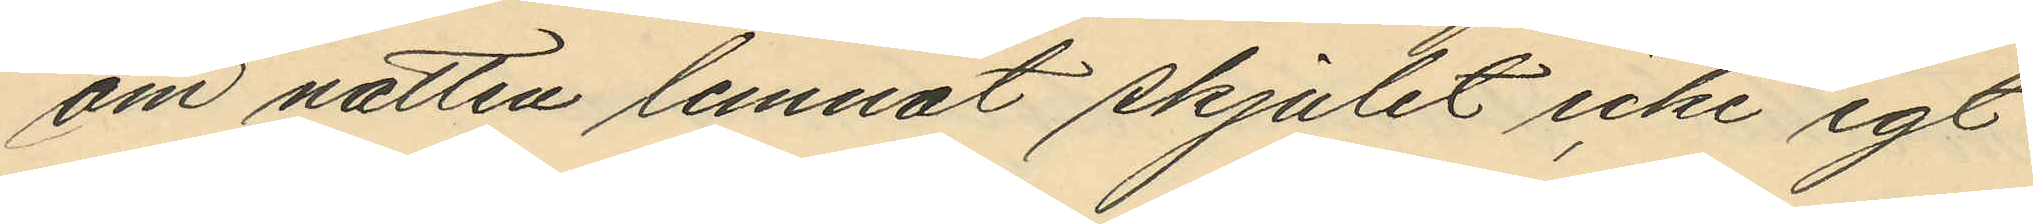om natten lemnat skjutet icke egt
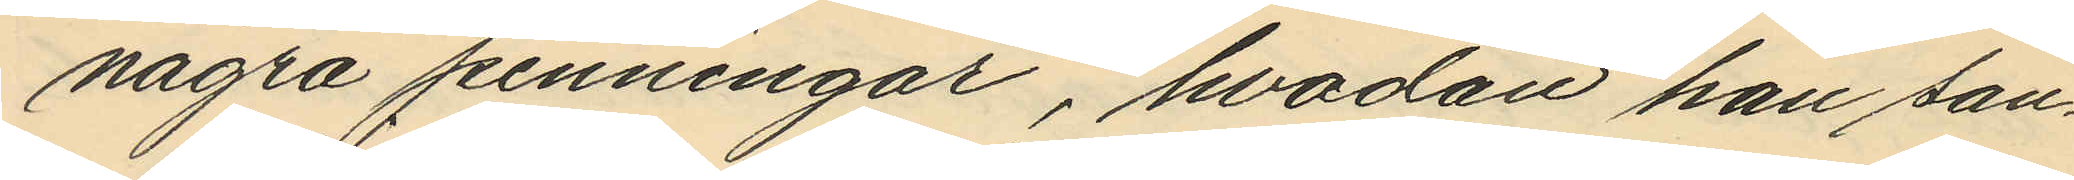några penningar, hvadan han san¬
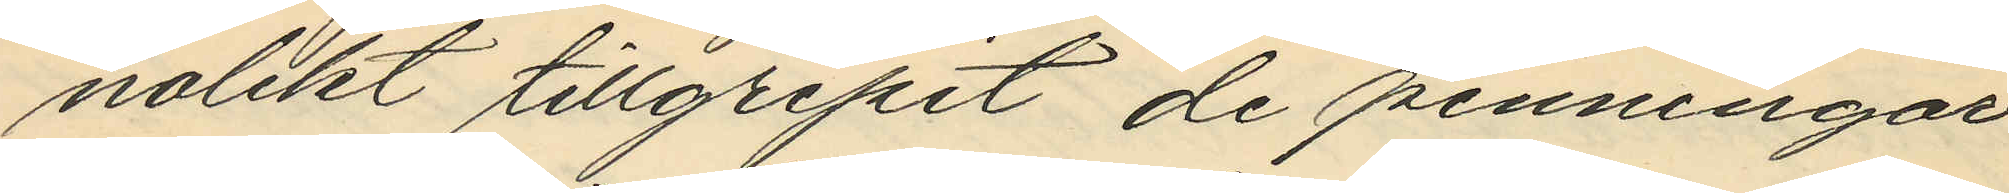nolikt tillgripit de penningar
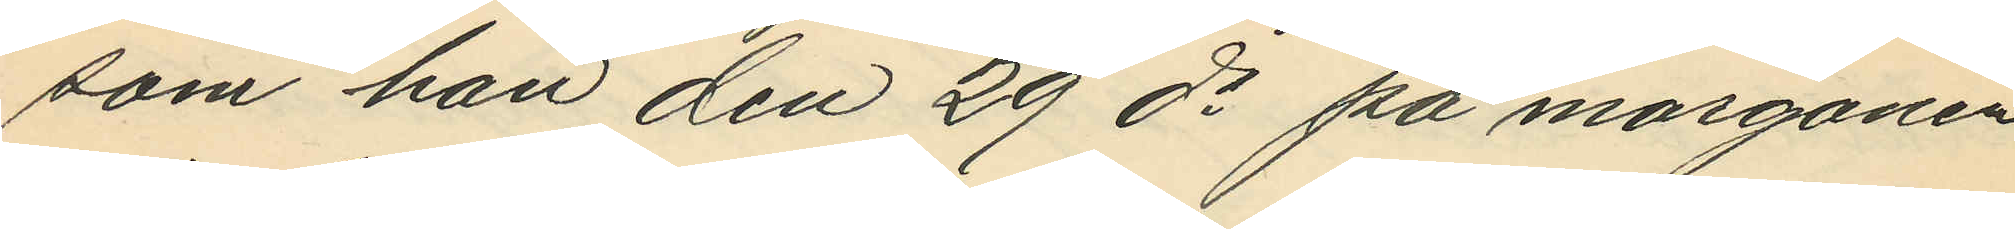som han den 29 ds på morgonen
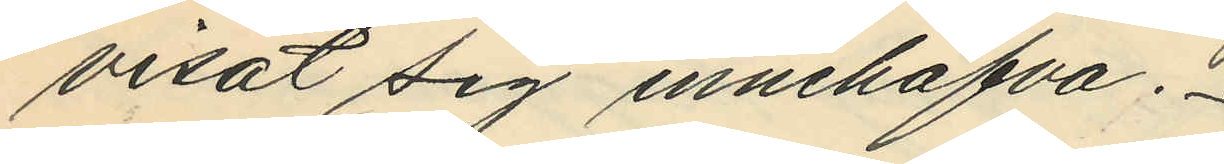visat sig innehafva.
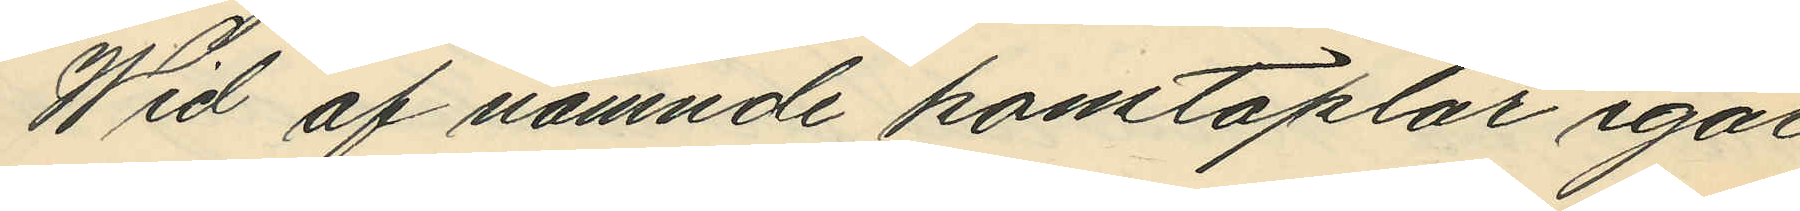Wid af nämnde konstaplar igår
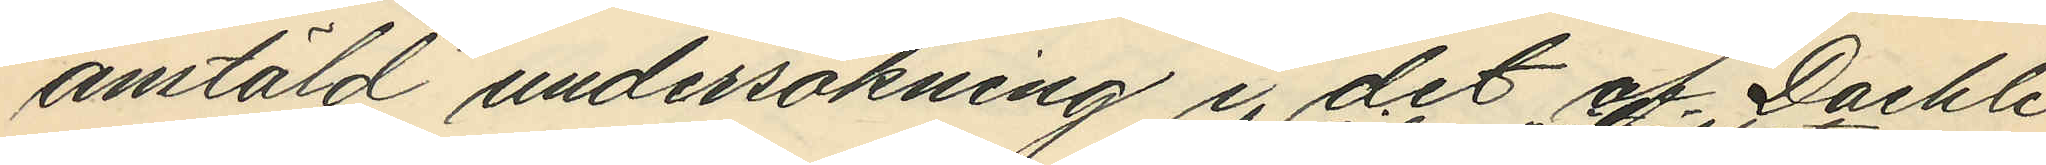anstäld undersökning i det af Daehli
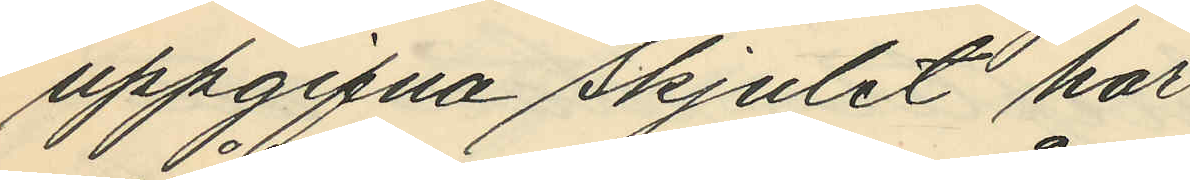uppgifna skjulet har
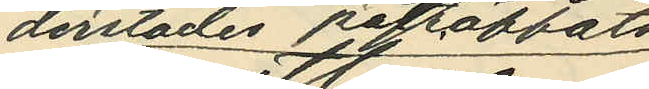derstädes påträffats
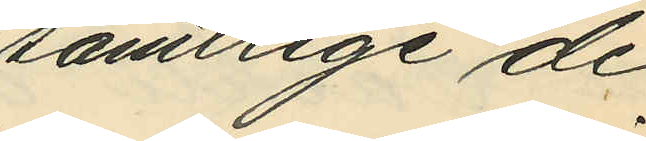samtlige de
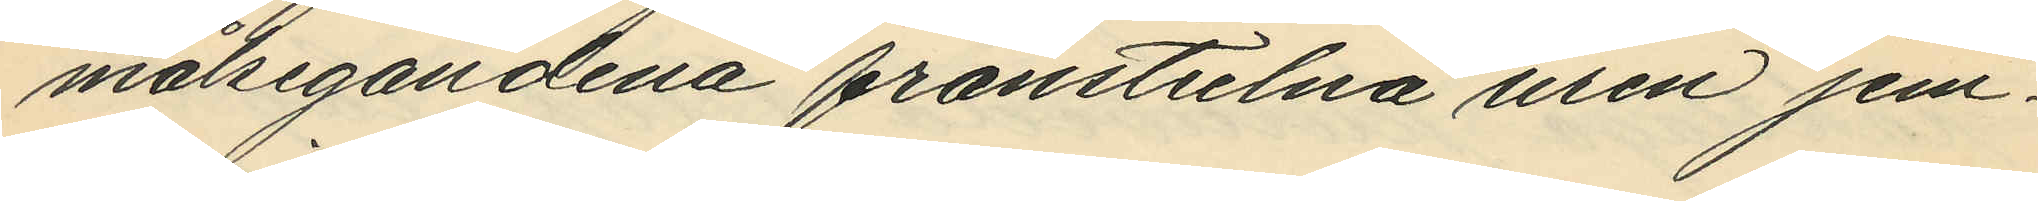målsegandena frånstulna uren jem¬
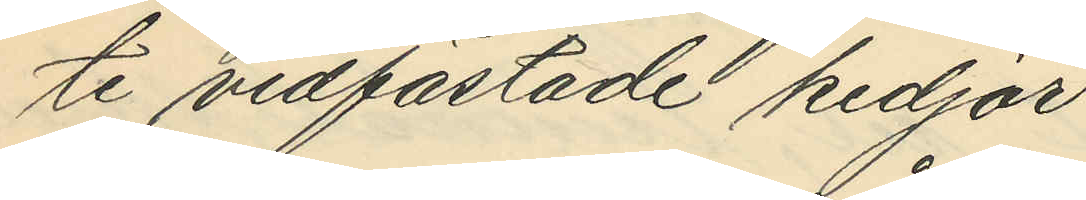te vidfästade kedjor.
